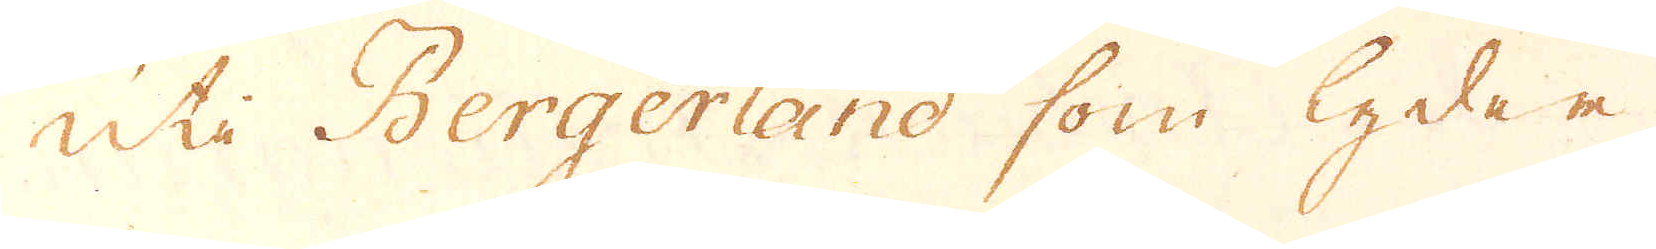uti Bergerland som lyder
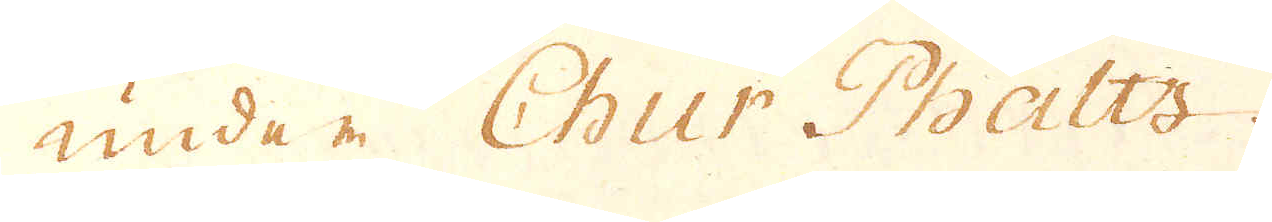under Chur Phaltz.
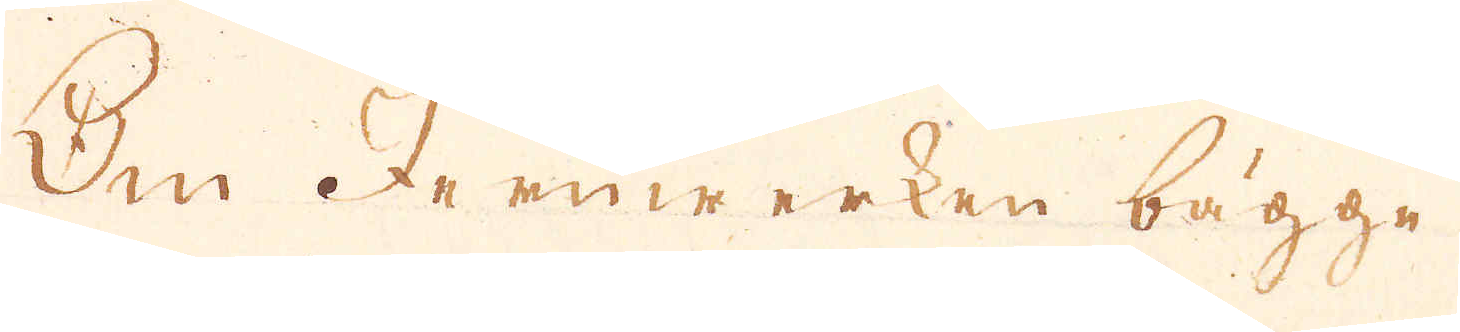Om Jernwerken bägge¬
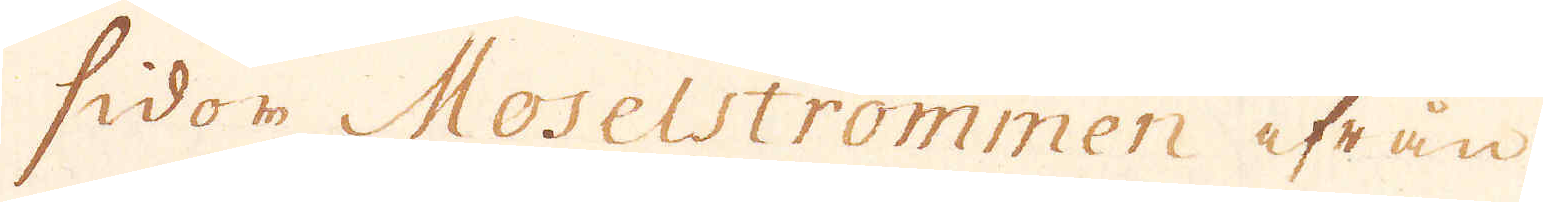sidor Moselströmmen ifrån
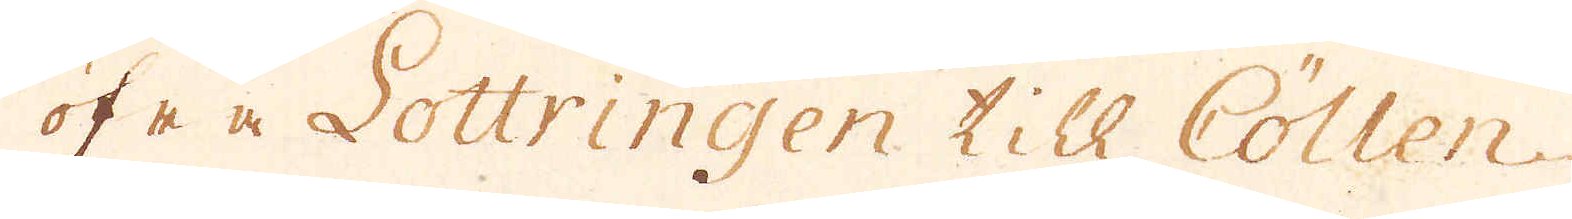öfre Lottringen Till Cöllen
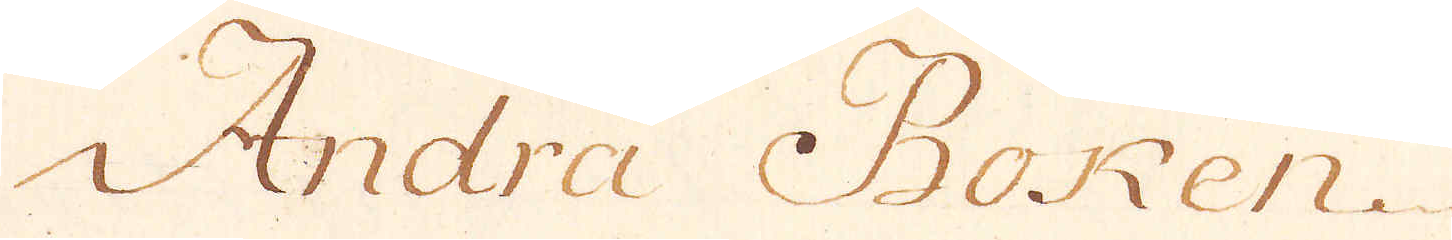Andra Boken
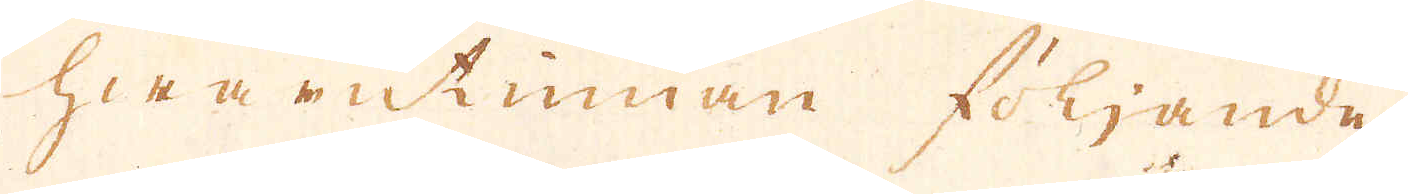hwarutinnan följande
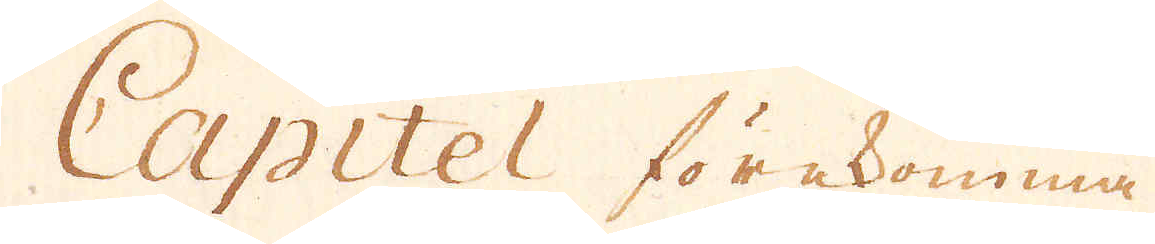Capitel förekomma
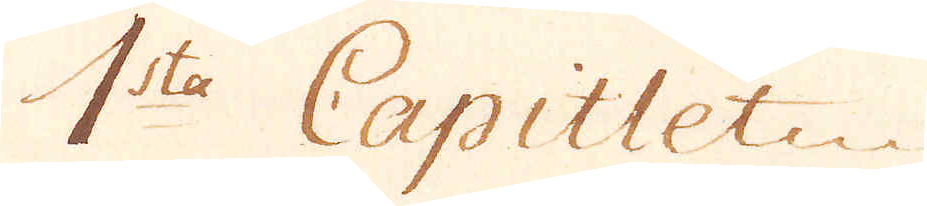1sta Capitlet
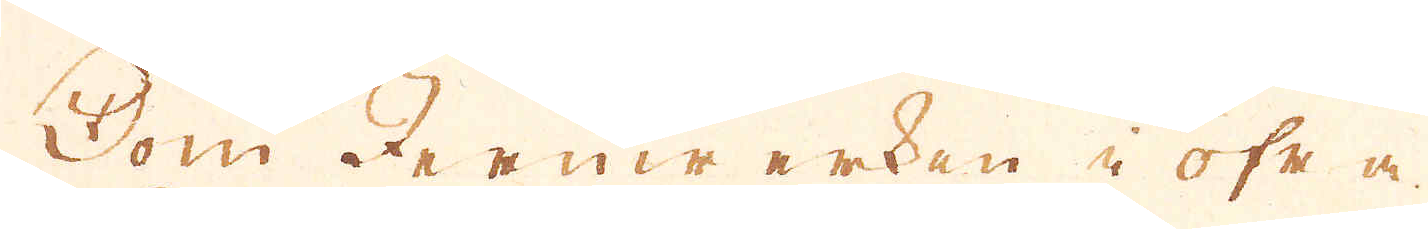Om Jernwerken i öfr m
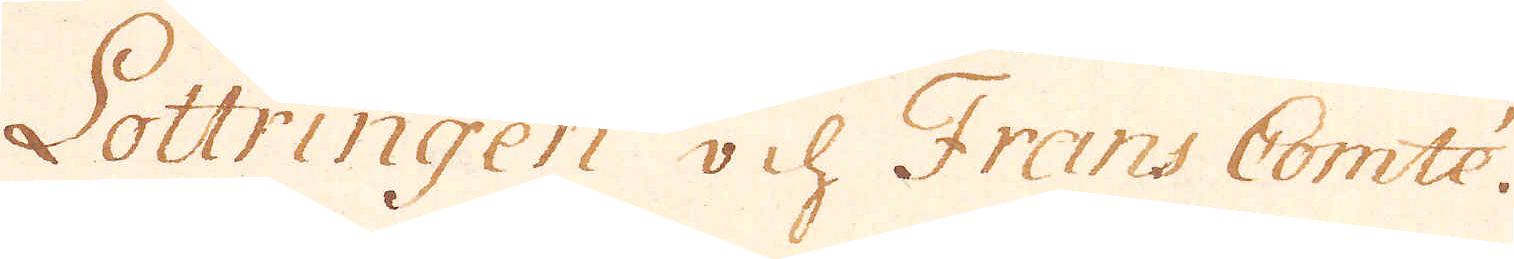Lottringen och Frans Comté.
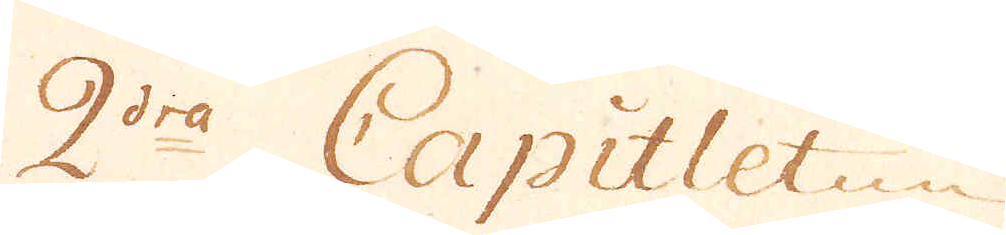2dra Capitlet
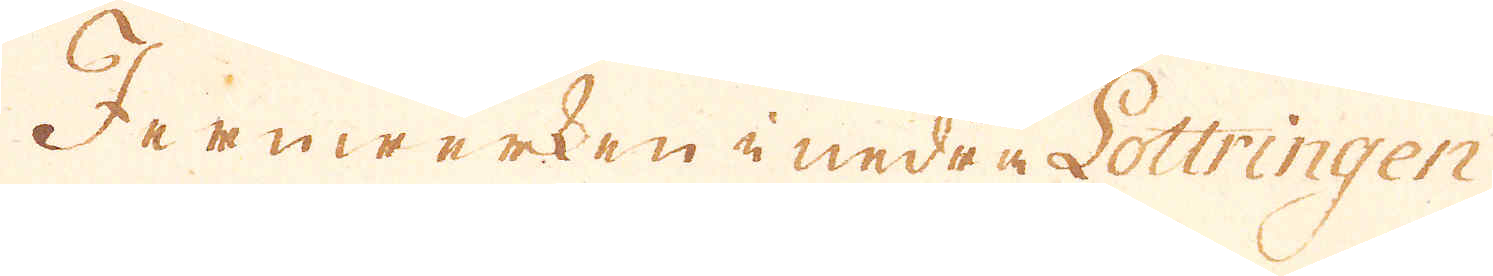Jernwerken i undra Lottringen
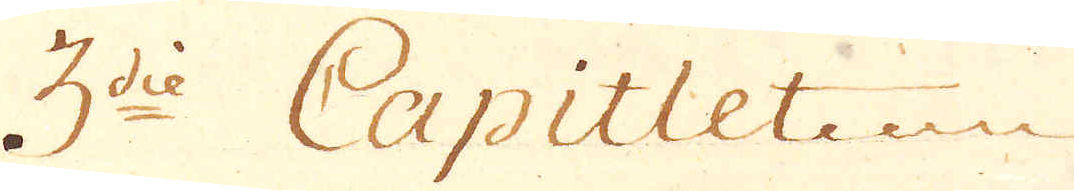3die Capitlet
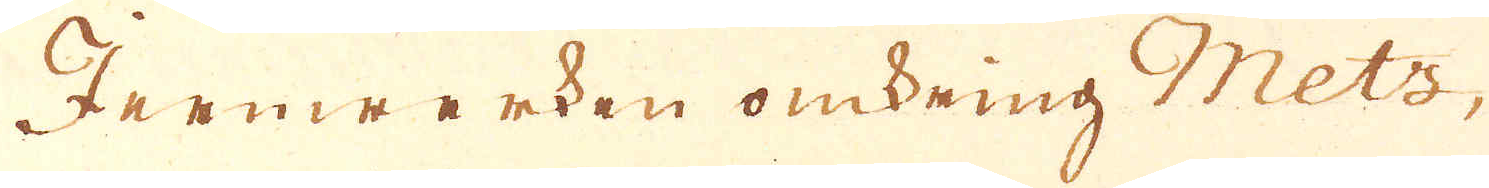Jernwerken omkring Mets,
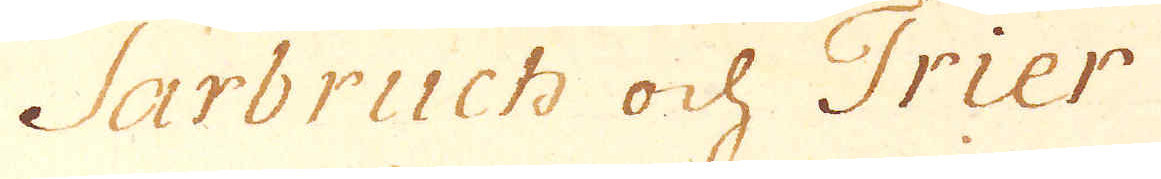Sarbruch och Trier
